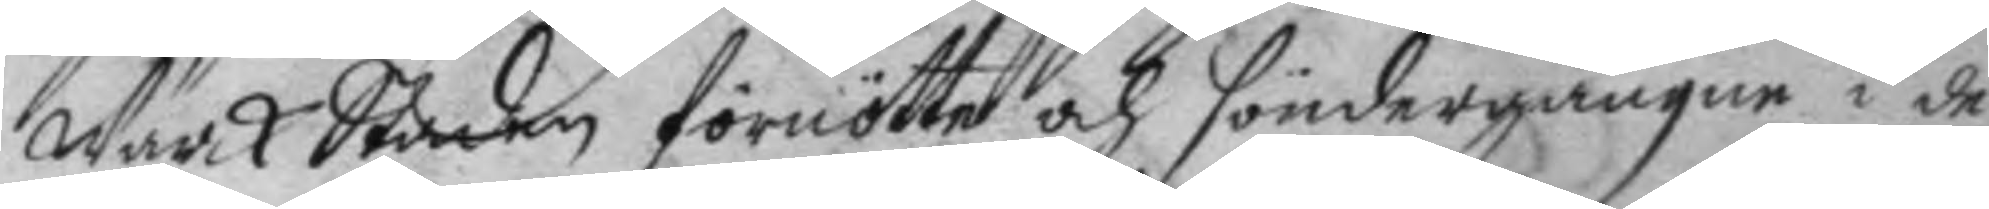WärkStaden förnötte och söndergångne i de
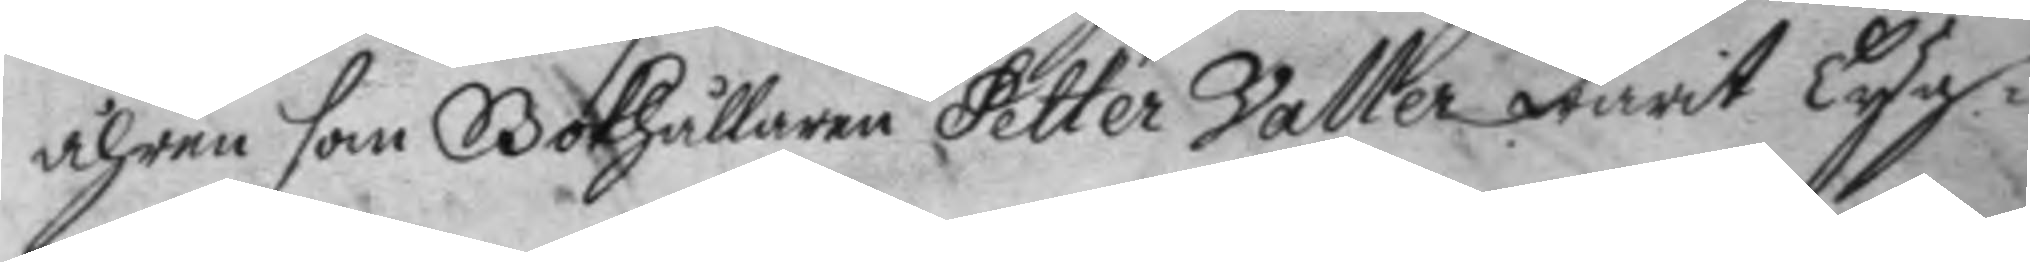åhren som Bokhållaren Petter Valler warit Tyg¬
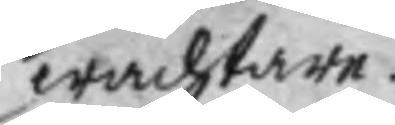wachtare.
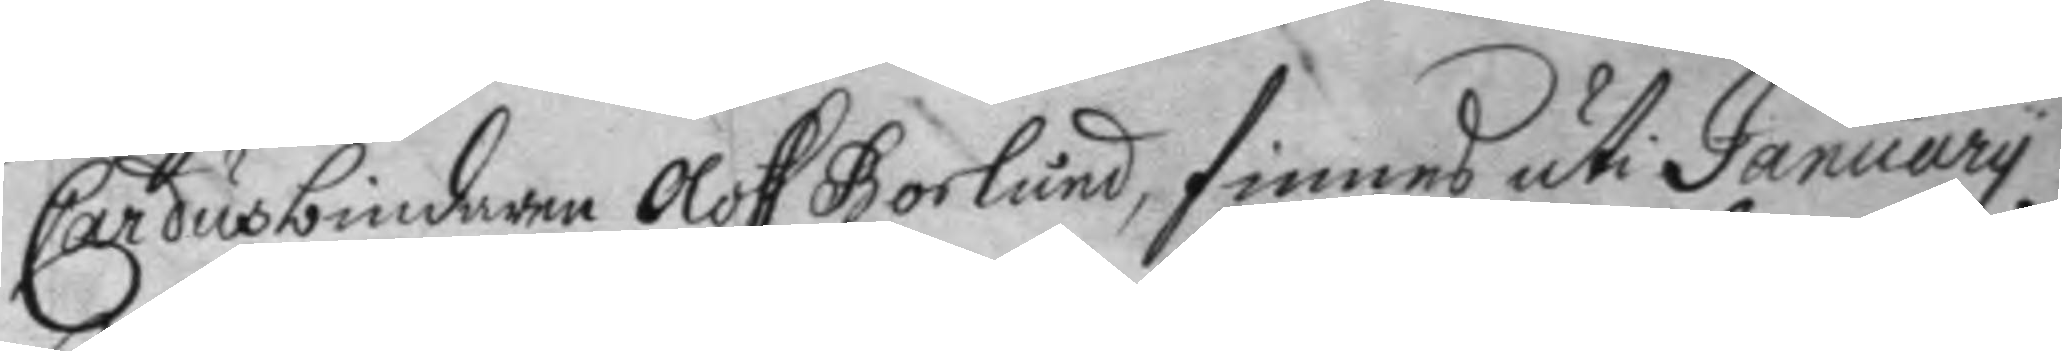Cardusbindaren Oloff Borlund, finnes uti January
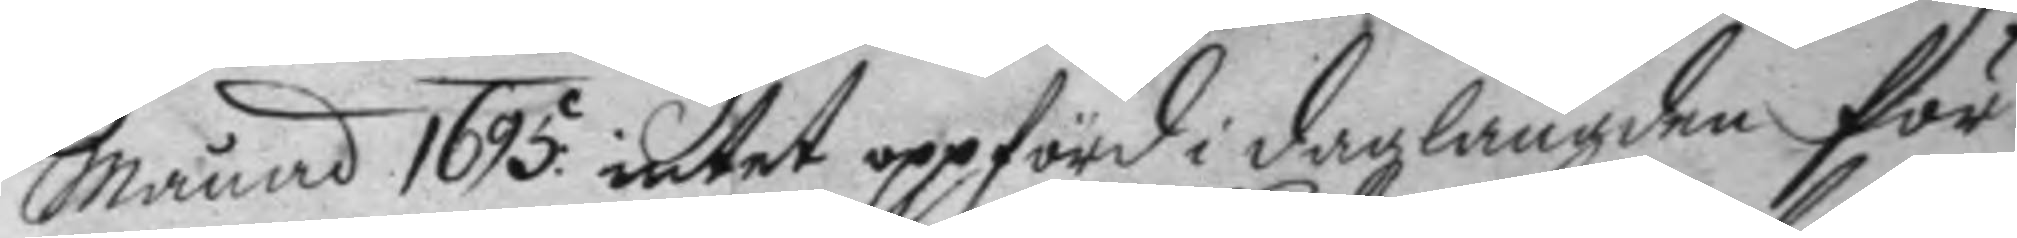Månad 1695: intet uppförd i dagzlängden för
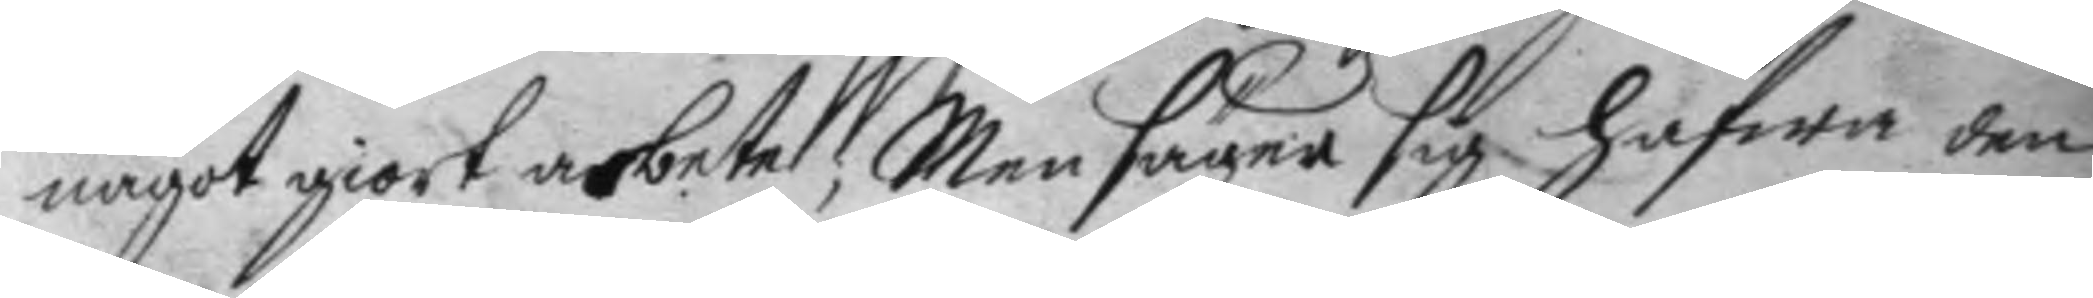något giort arbete; men säger sig hafwa den
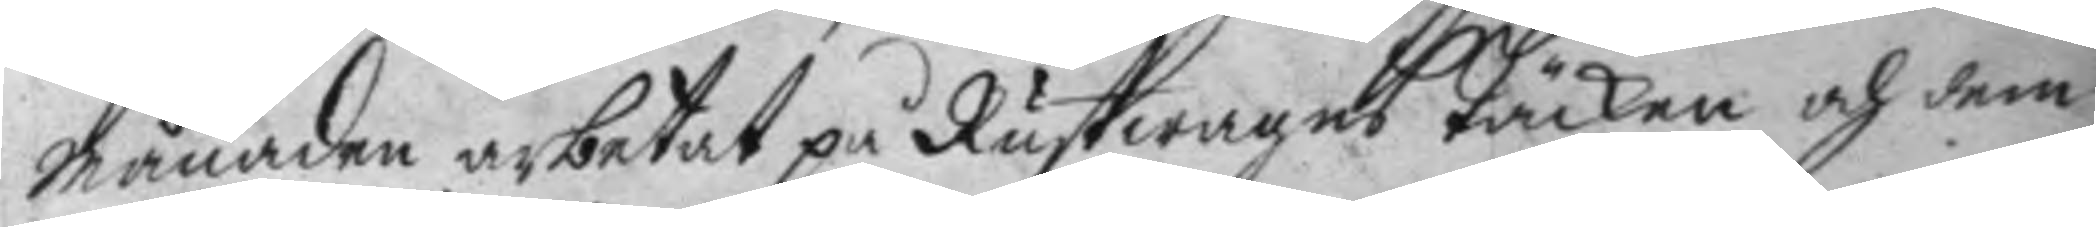månaden arbetat på Rustwagns Täcken och dem
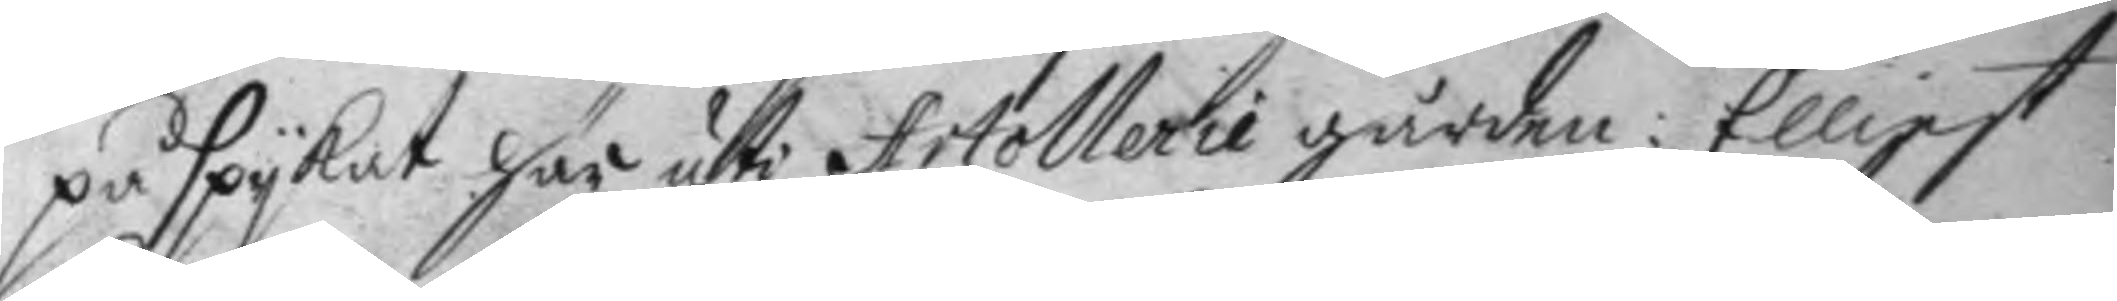påspykat här uti Artolleri gården: Elliest
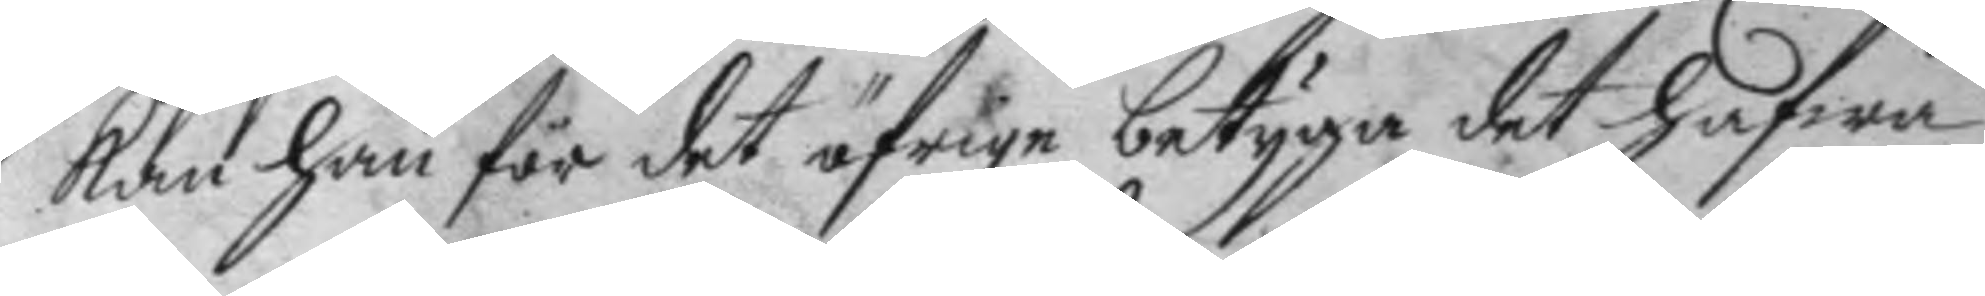kan han för det öfrige betyga det hafwa
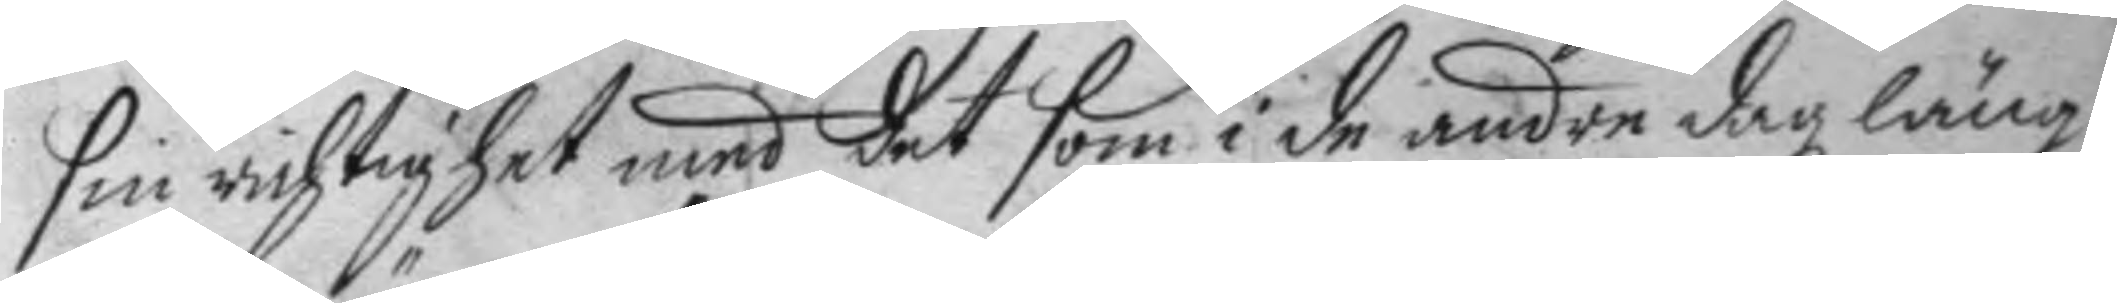sin richtighet med det som i de andre dagz läng¬
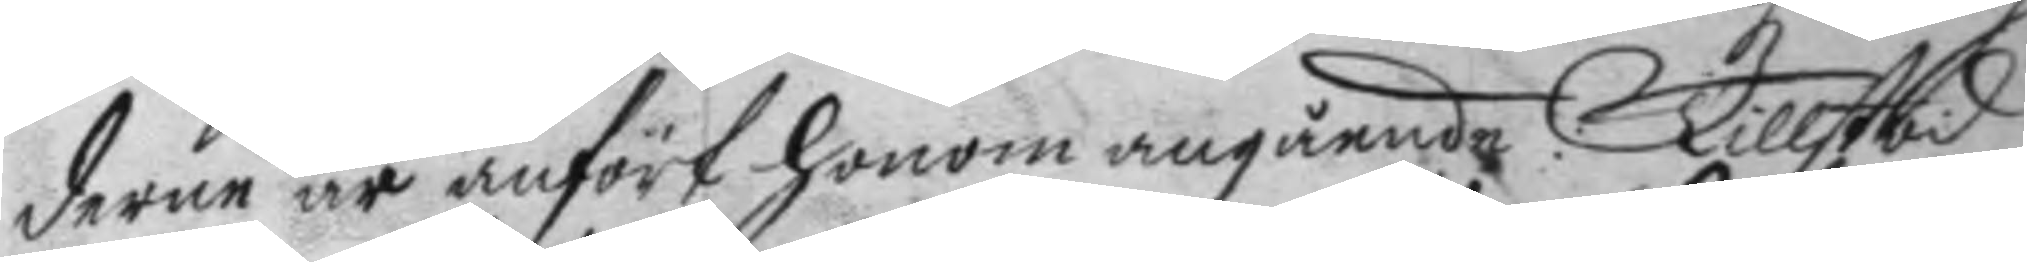derne är anfört honom angående: Tillstod
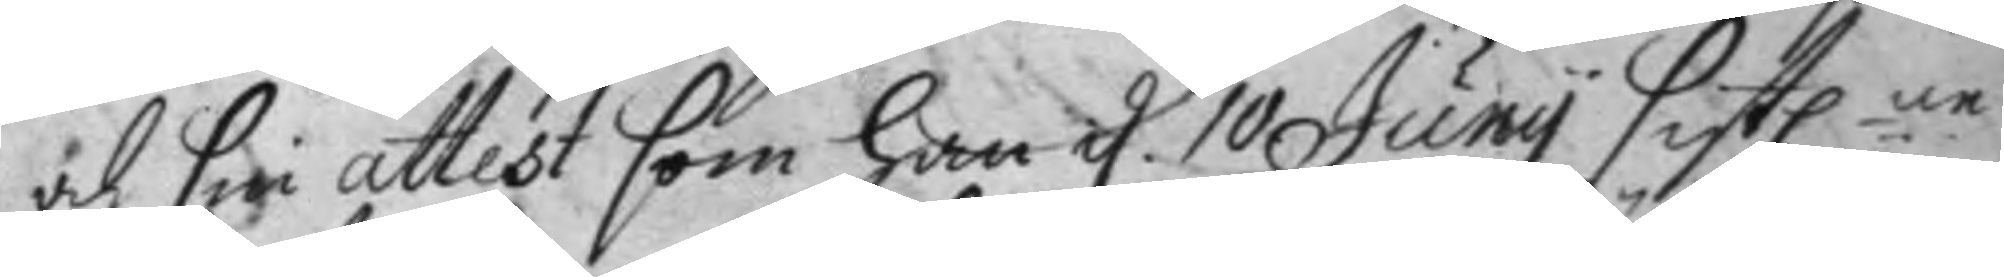och sin attest som han d. 10 Juny sistl.ne
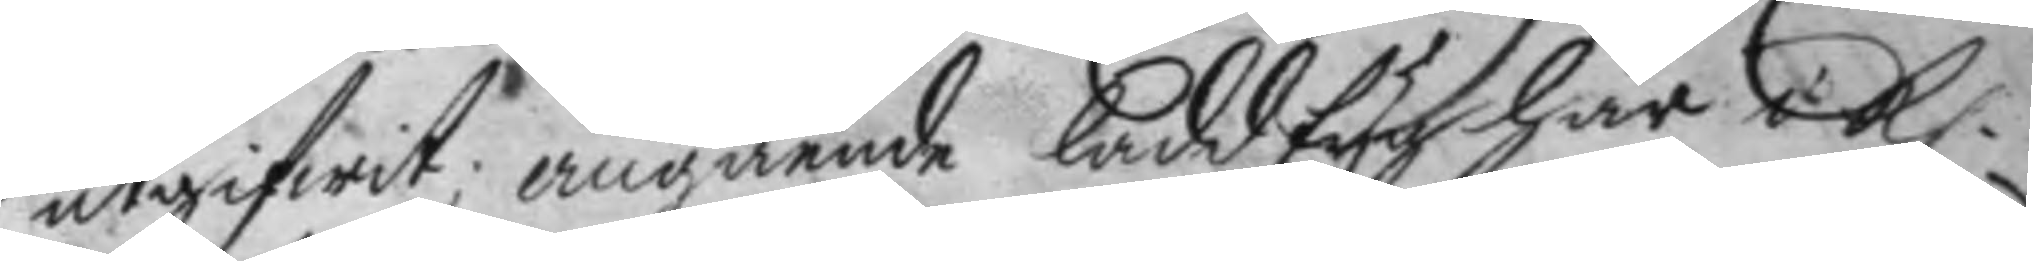utgifwit angående laddtyg här i Kl.
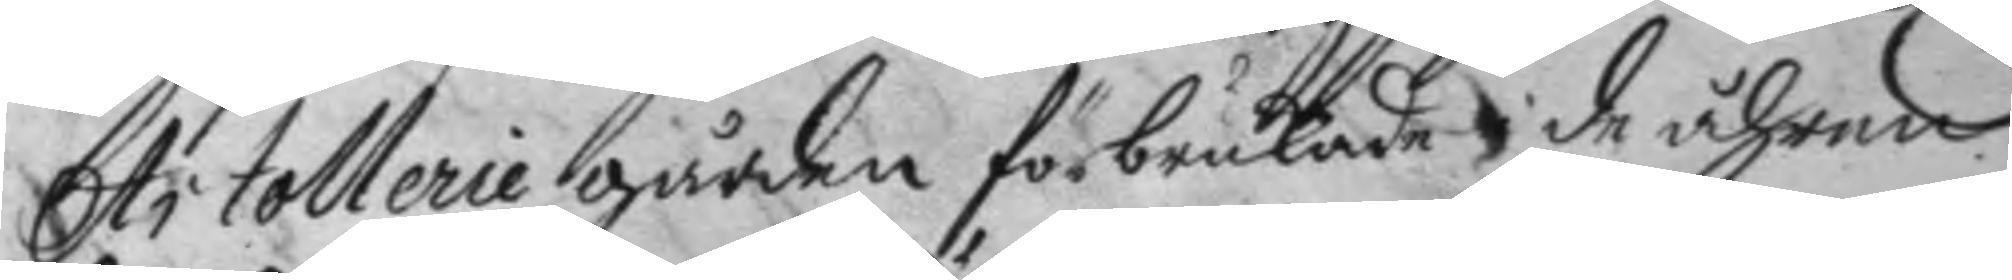Artollerie gården förbrukade i de åhren
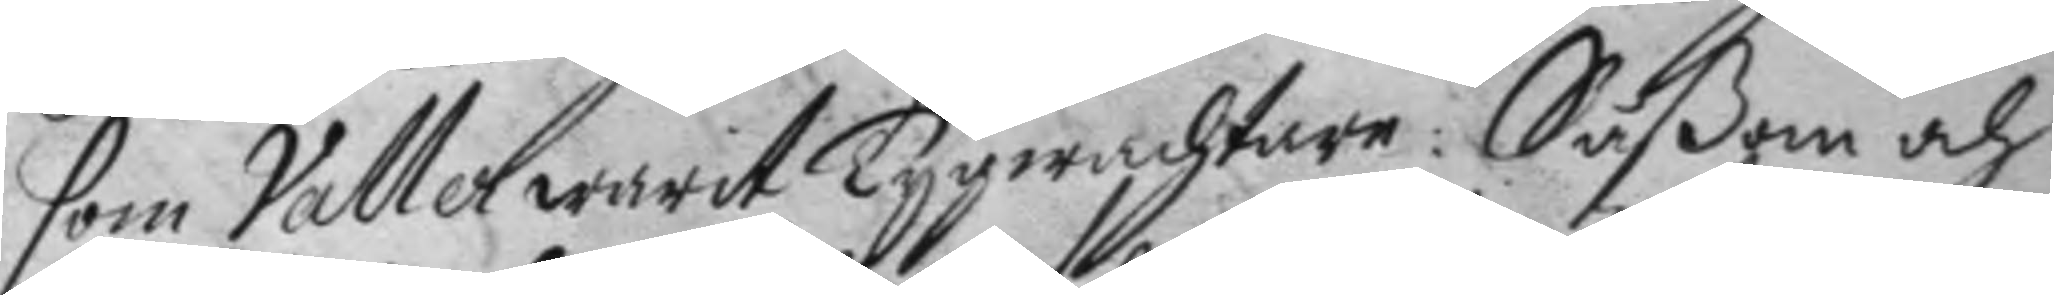som Valler warit Tygwachtare: Såßom och
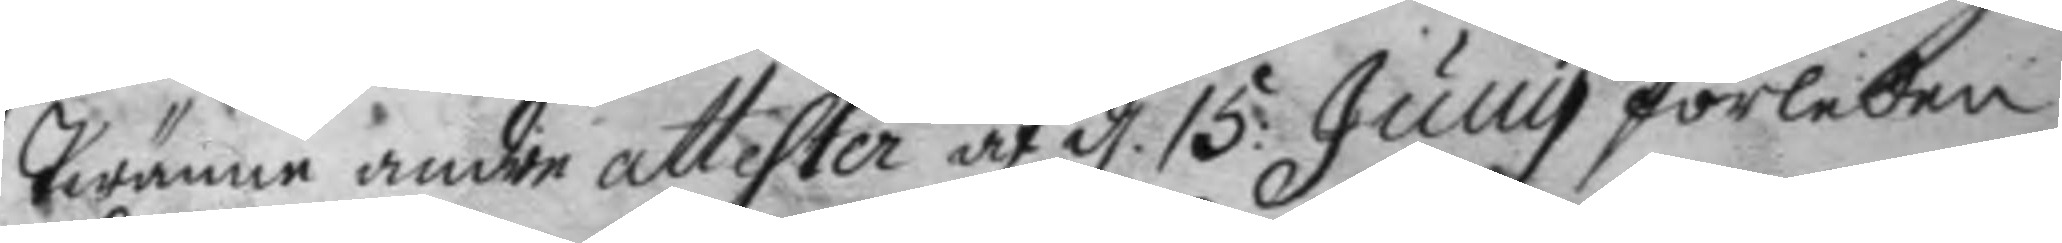twänne andre attester af d. 15: Juny förleden
